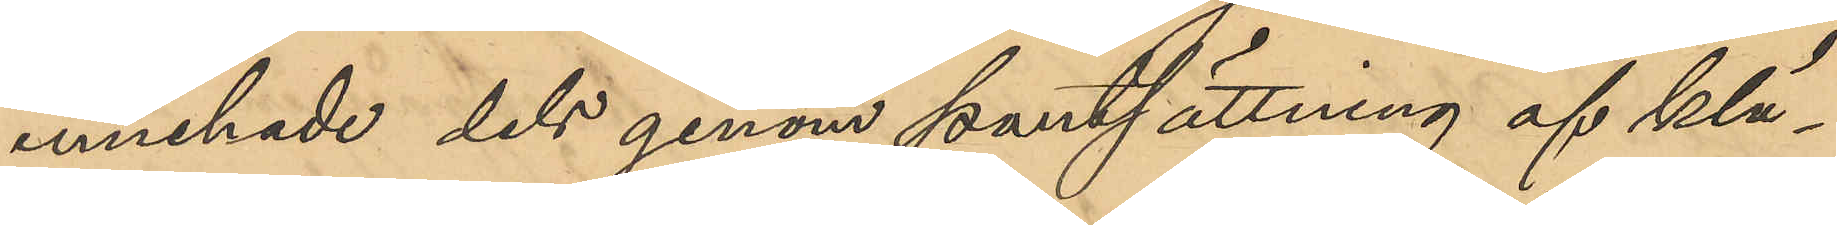innehade dels genom pantsättning af klä¬
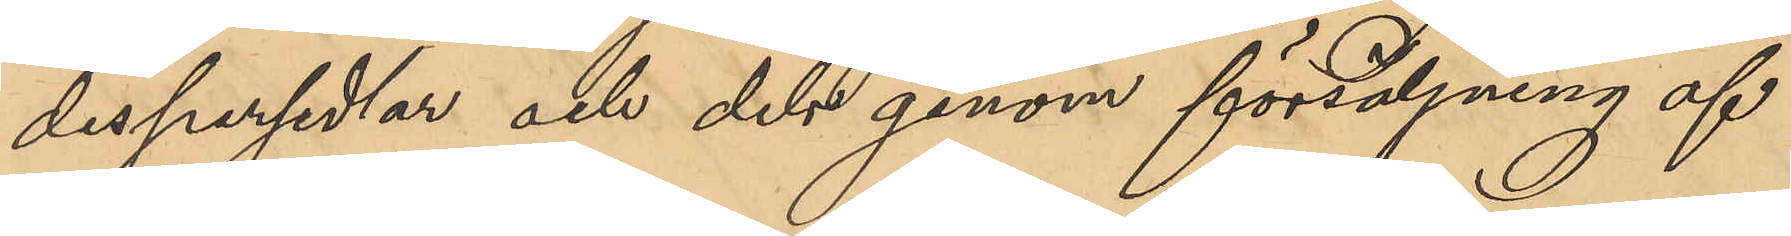despersedlar och dels genom försäljning af
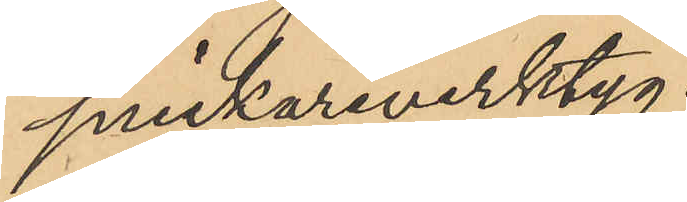snickareverktyg.
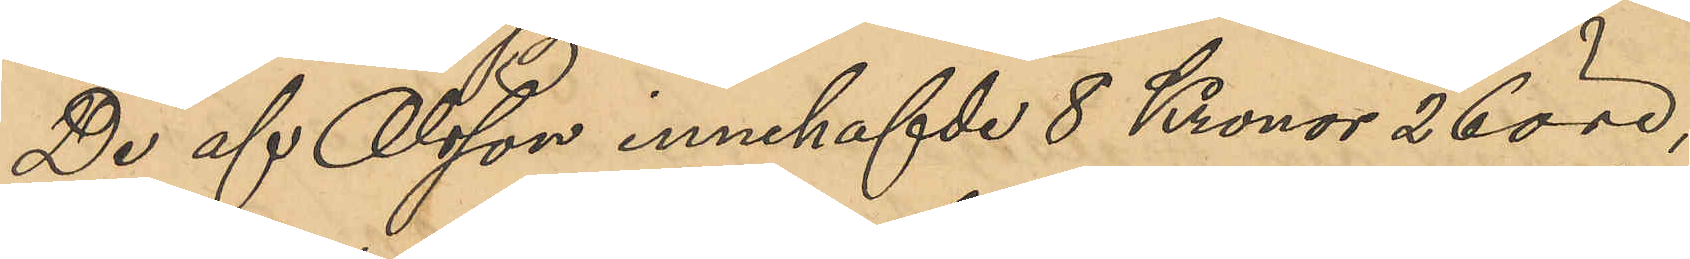De af Olsson innehafde 8 Kronor 26 öre,
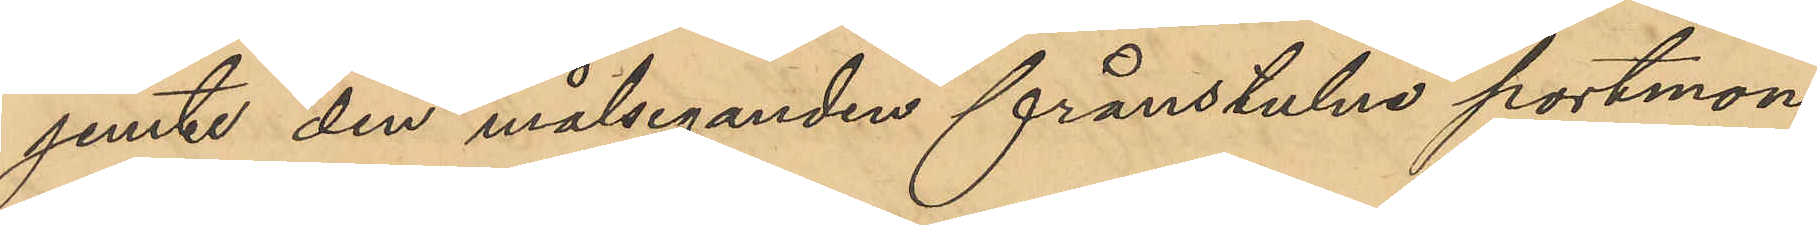jemte den målsegandens frånstulna portmon¬
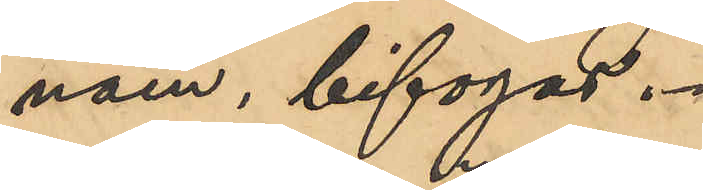naen, bifogas.
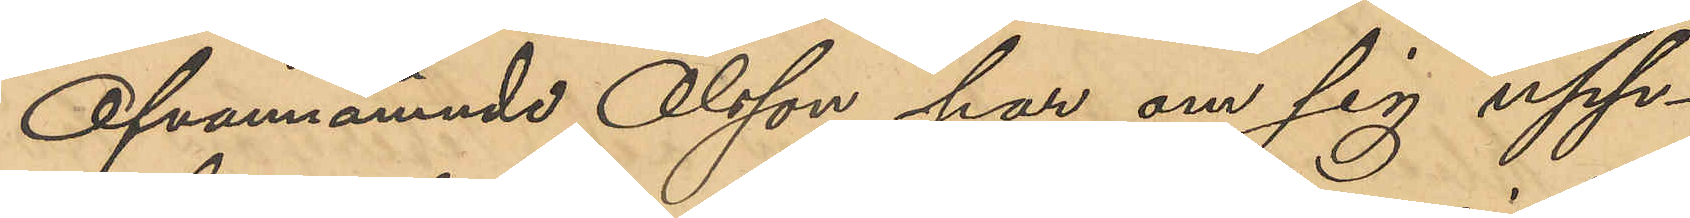Ofvannämnde Olsson har om sig upp¬
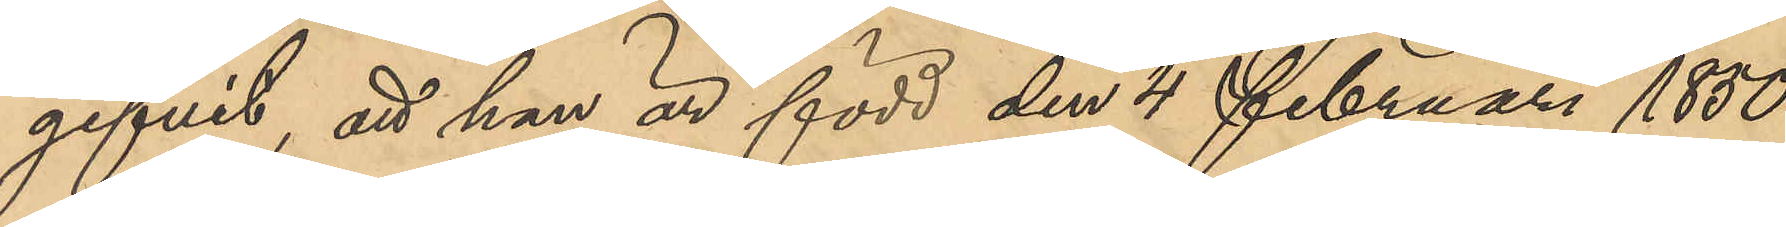gifvit, att han är född den 4 Februari 1850
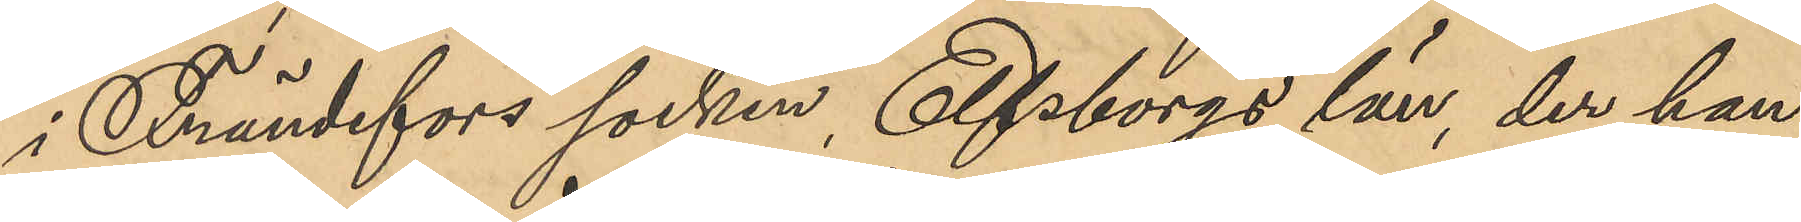i Frändefors socken, Elfsborgs län, der han
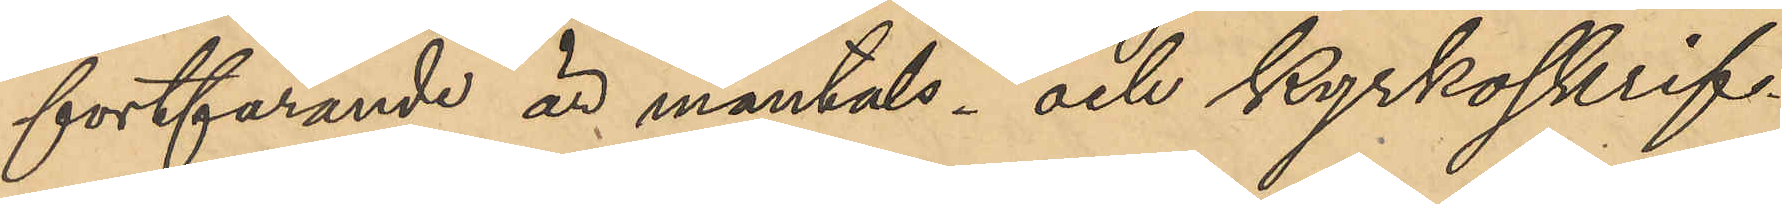fortfarande är mantals- och kyrkoskrif¬
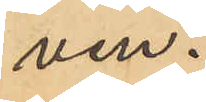ven.
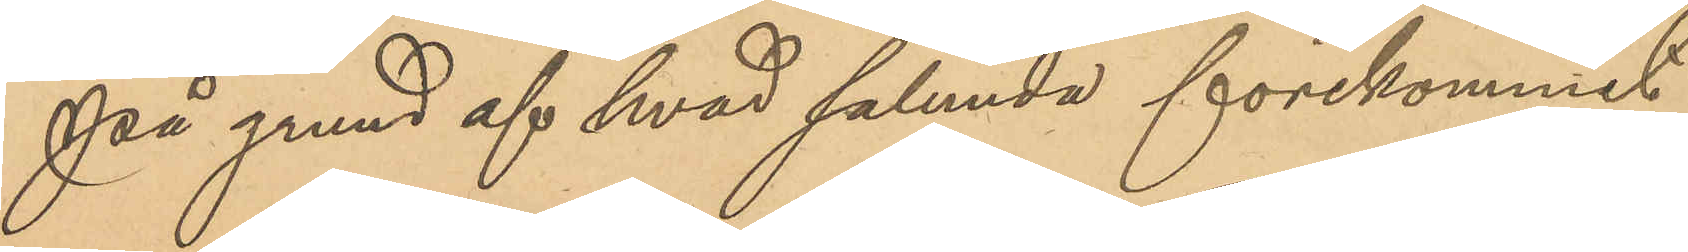På grund af hvad sålunda förekommit
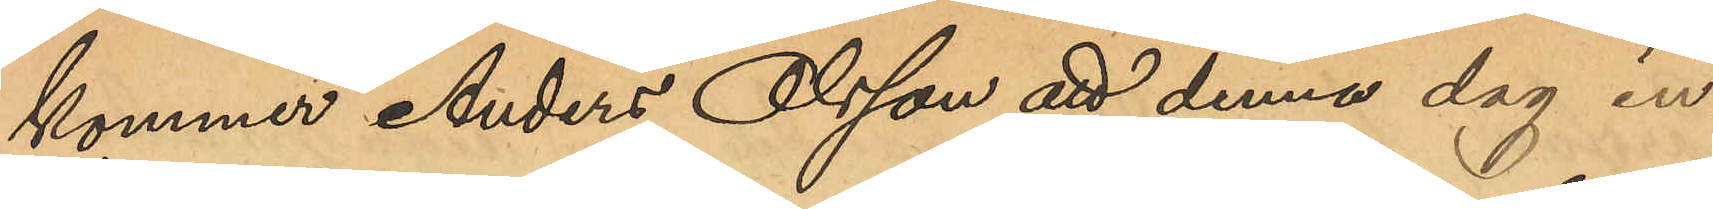kommer Andes Olsson att denna dag in¬
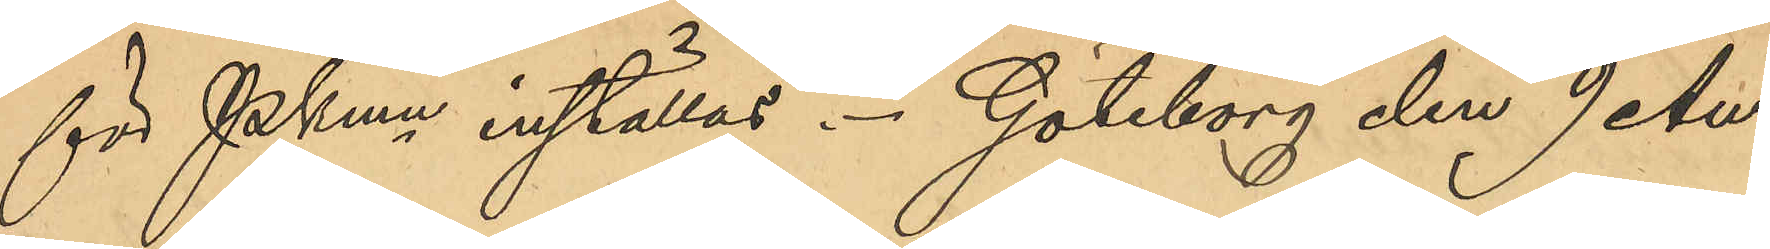för PKmn inställas. Göteborg den 9 Au¬
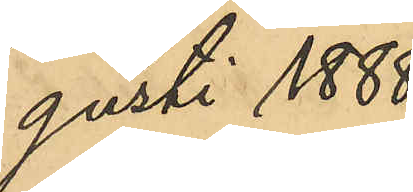gusti 1888.
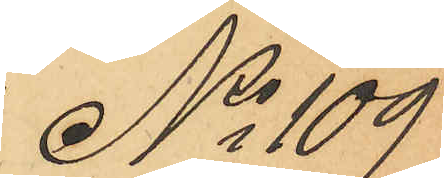No 109
